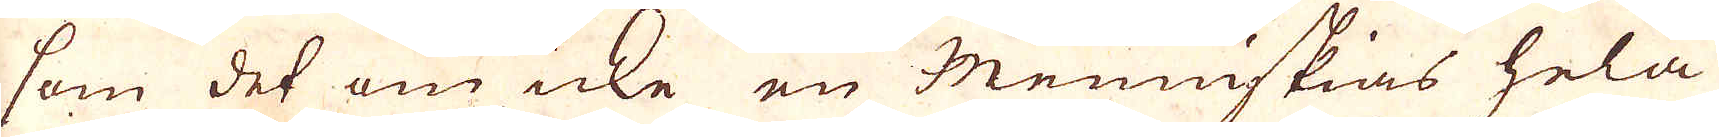som det om icke en Menniskias hela
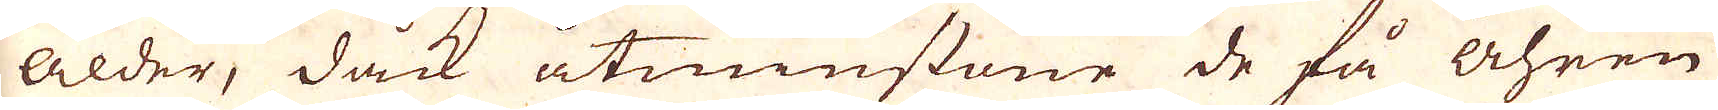Ålder, dock åtminstone de få Åhren
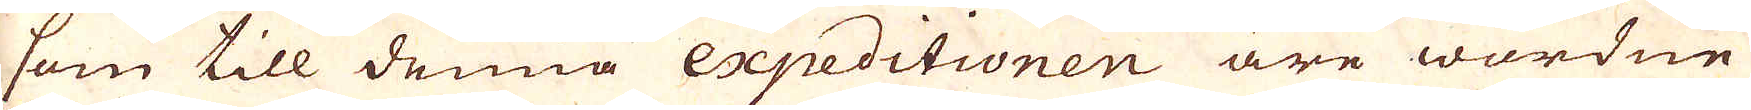som till denna expeditonen äre wardne
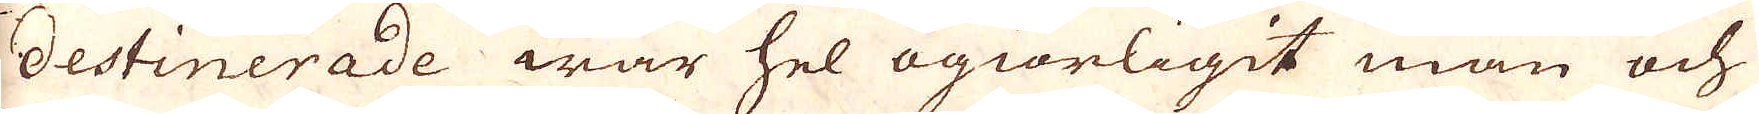destinerade war hel ogiörligit man och
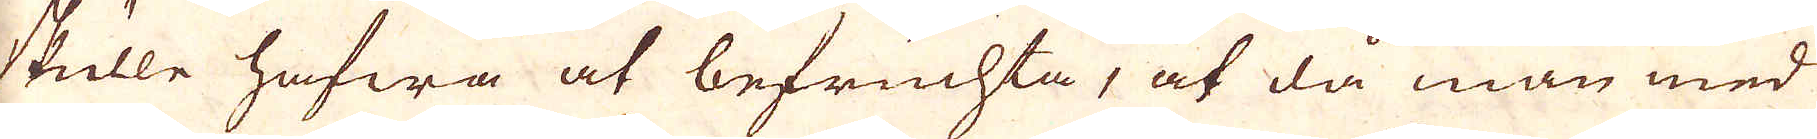skulle hafwa at befruchta, at då man med
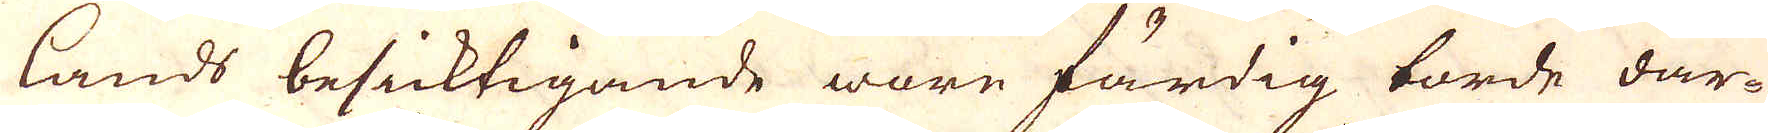lands besicktigande ware färdig torde där-
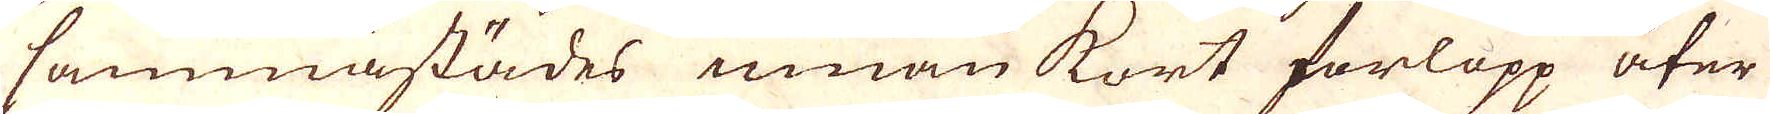sammastädes innan kort forlopp åter
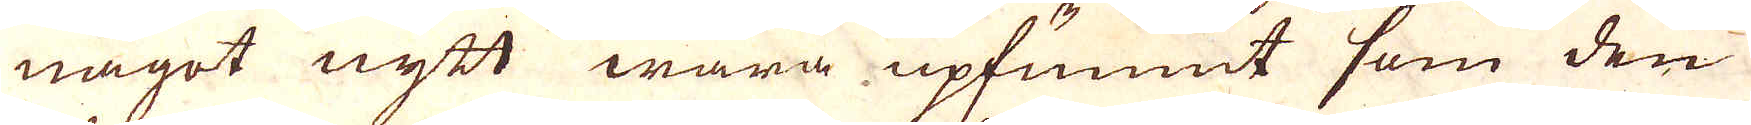något nytt wara upfunnit som den
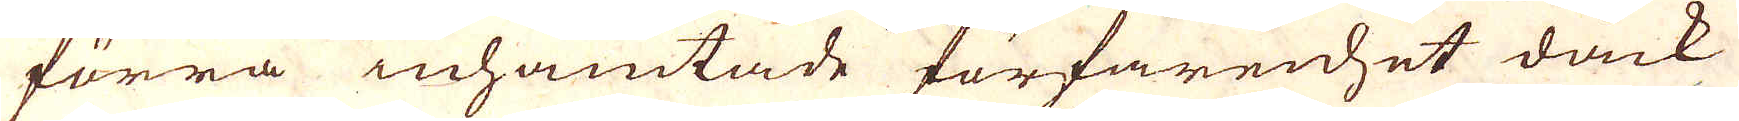förra inhämtade förfarenhet dåck
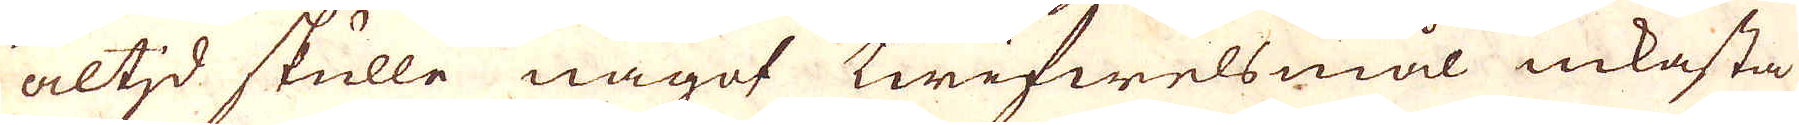altd skulle något twifwelsmål inkasta
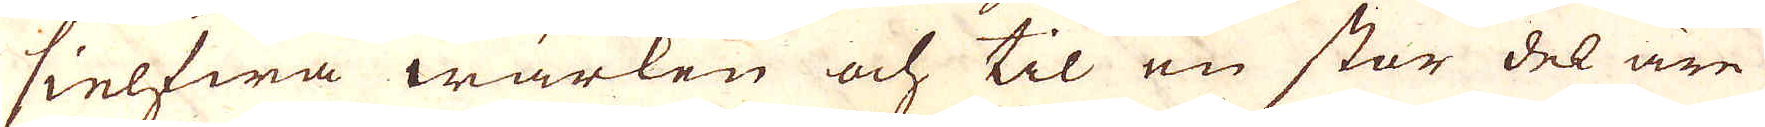sielfwa wärken och til en stor del äre
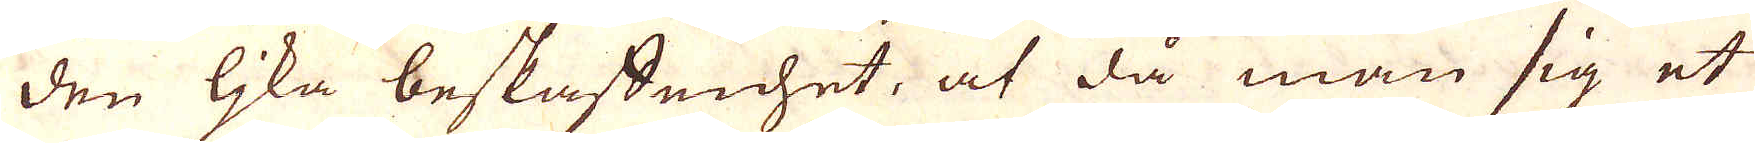den ljka beskaffenhet, at då man sig et
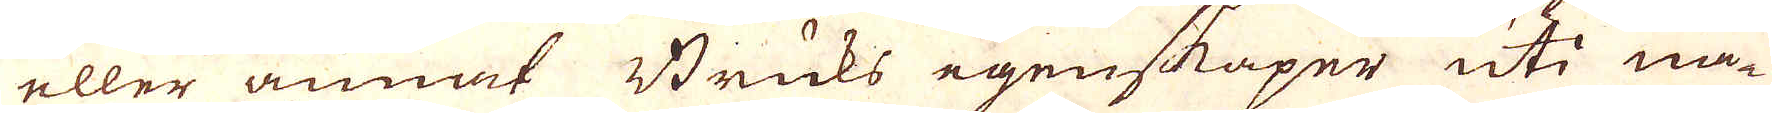eller annat Bruks egenskaper uti nå-
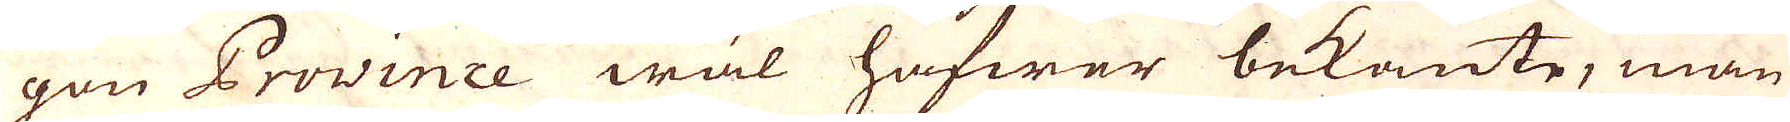gon Province wäl hafwer bekante, man
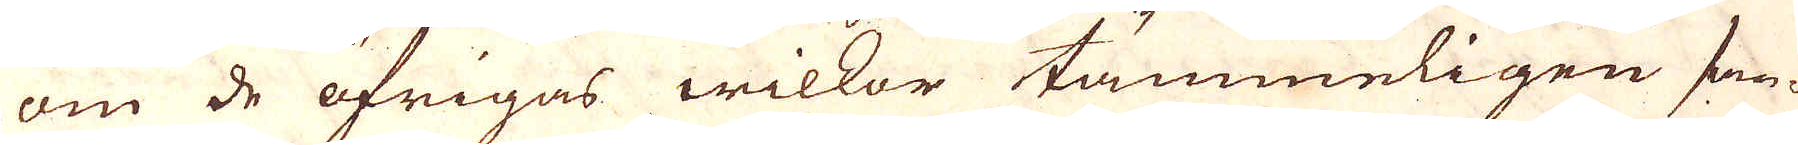om de öfrigas wilkor tämmeligen san-
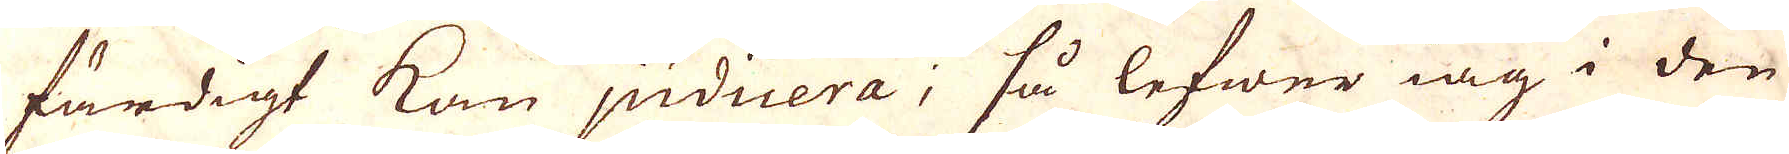färdigt kan judicera; så lefwer iag i den
